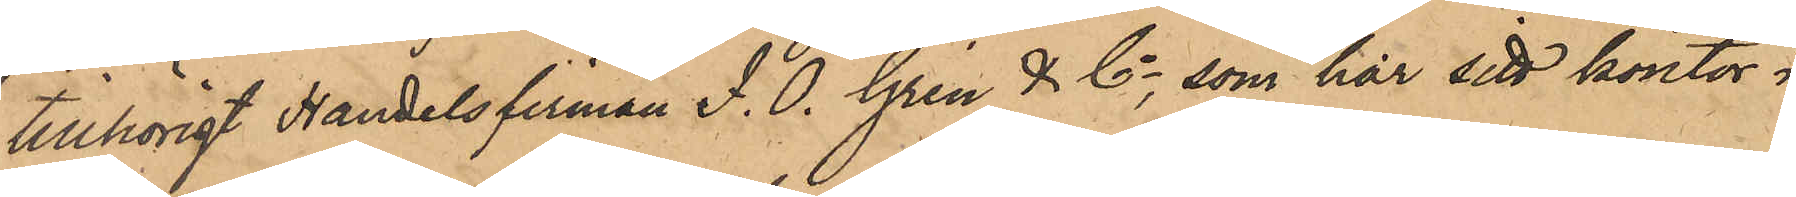tillhörigt Handelsfirman J. O. Grén & Co, som har sitt kontor i
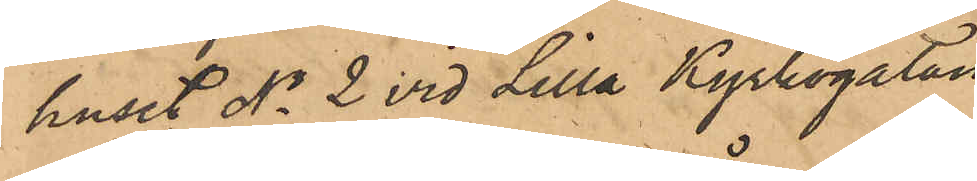huset No 2 vid Lilla Kyrkogatan.
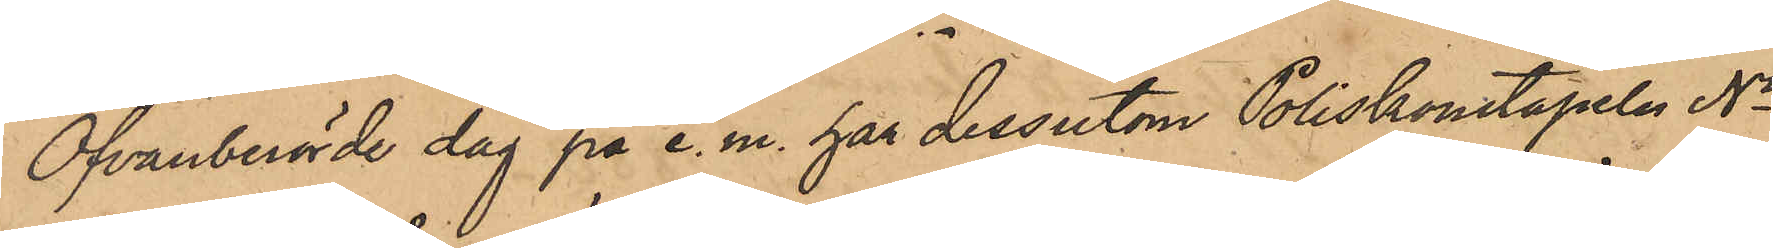Ofvanberörde dag på e. m. har dessutom Poliskonstapeln No
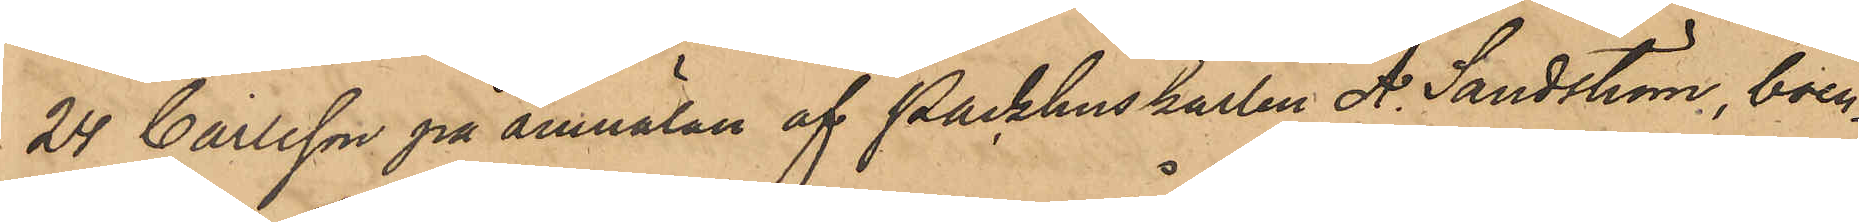24 Carlsson på anmälan af Packhuskarlen A. Sandström, boen¬
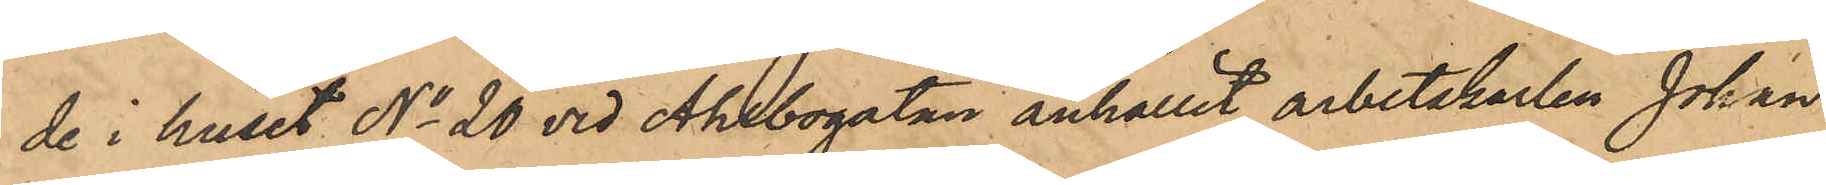de i huset No 20 vid Ahlbogatan anhållit arbetskarlen Johan
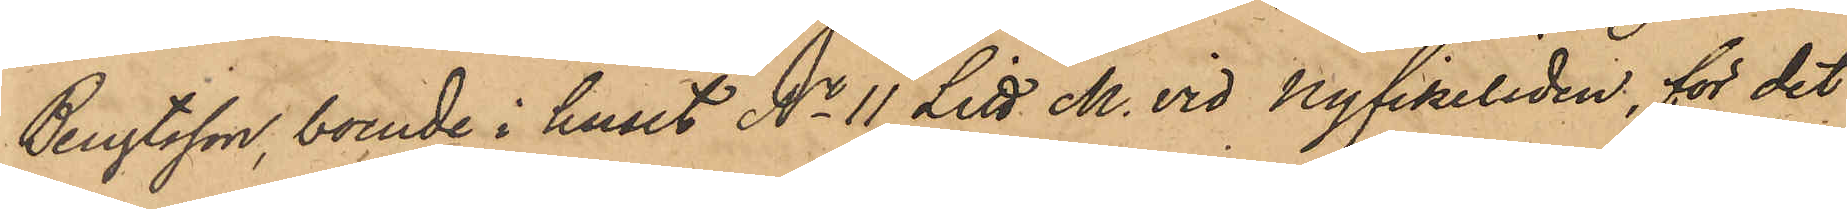Bengtsson, boende i huset No 11 Litt M. vid Nyfikeliden, för det
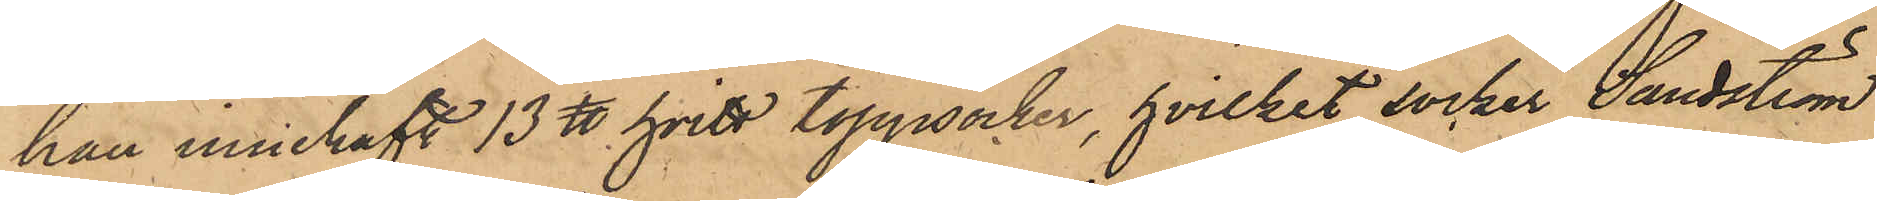han innehaft 13 ℔ toppsocker, hvilket socker Sandström
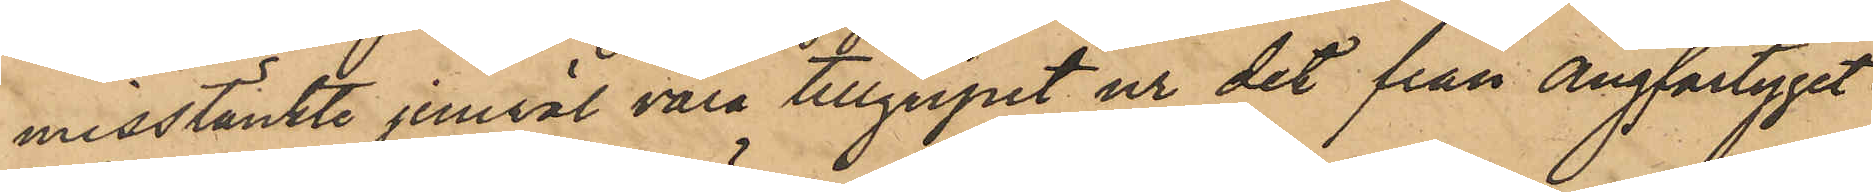misstänkte jemväl vara tillgripit ur det från ångfartyget
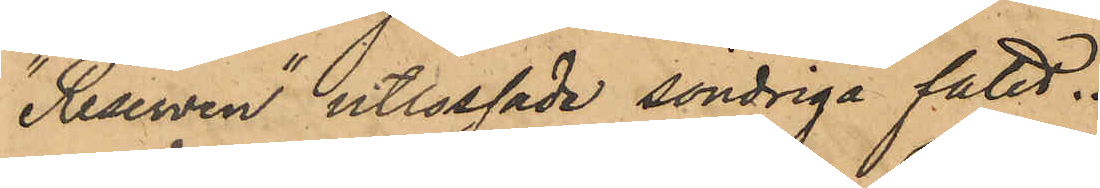"Reserven" utlossade söndriga fatet.
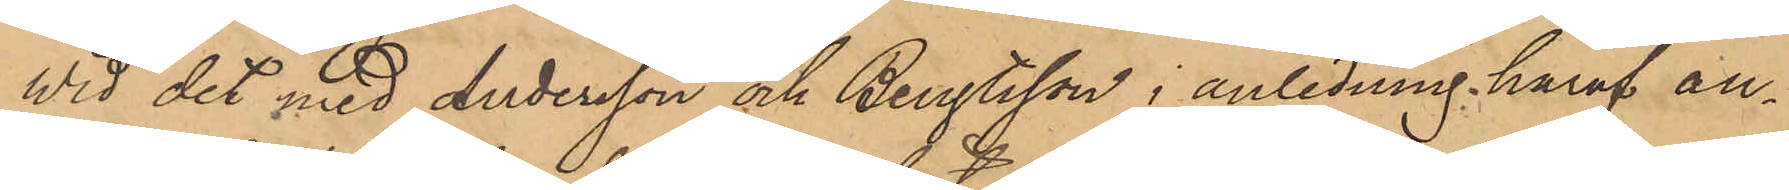Wid det med Andersson och Bengtsson i anledning häraf an¬
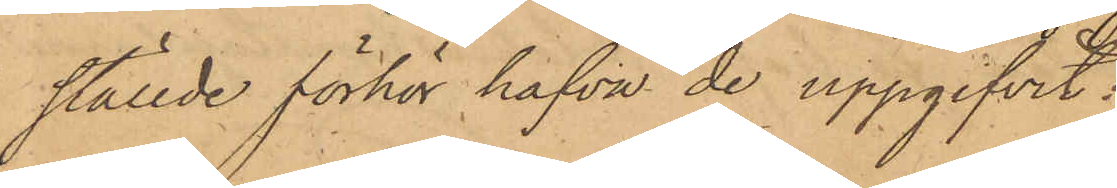ställde förhör hafva de uppgifvit:
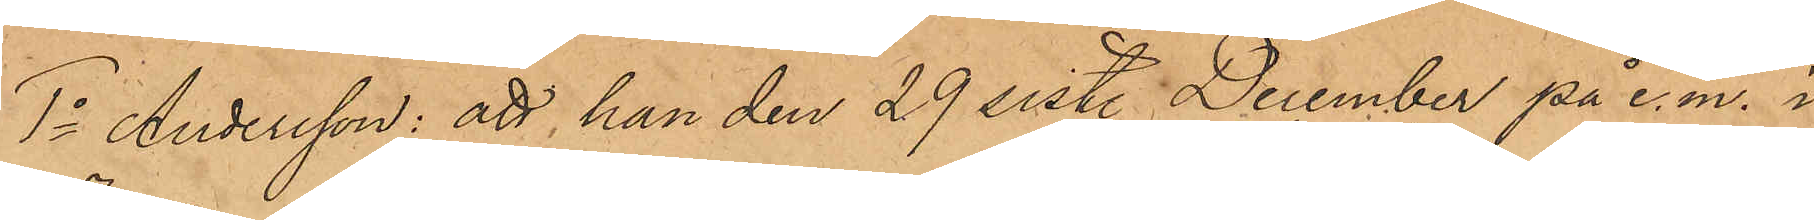1o Andersson: att han den 29 sist. December på e. m. i
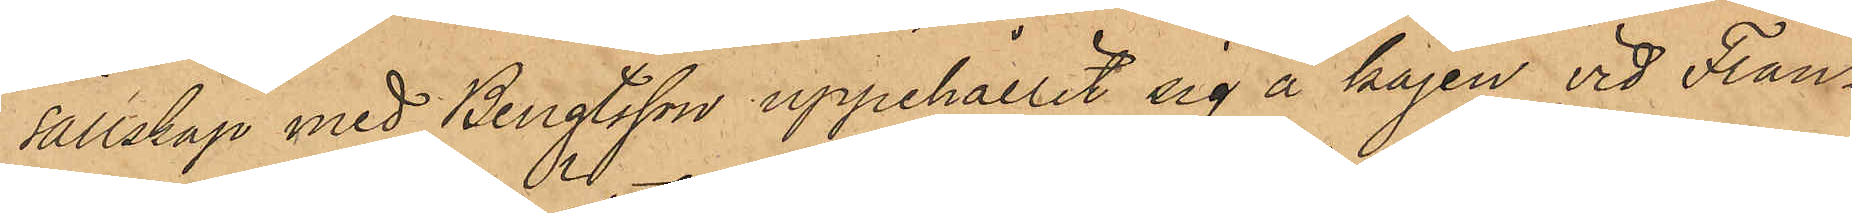sällskap med Bengtsson uppehållit sig å kajen vid Fran¬
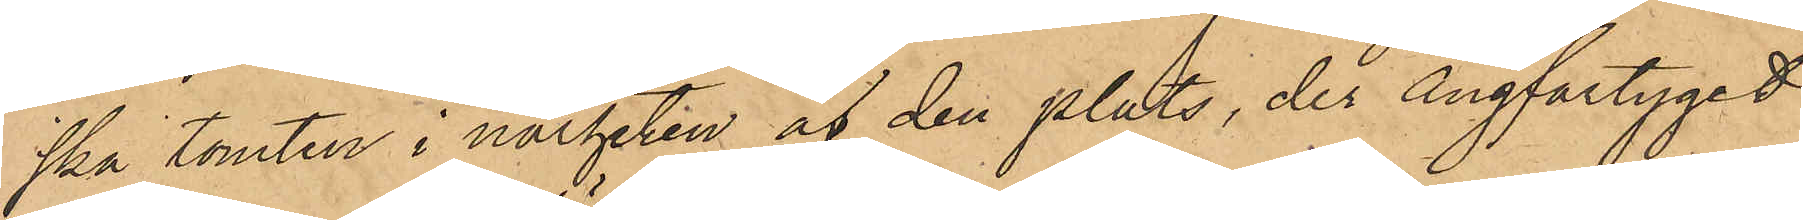ska tomten i närheten af den plats, der ångfartyget
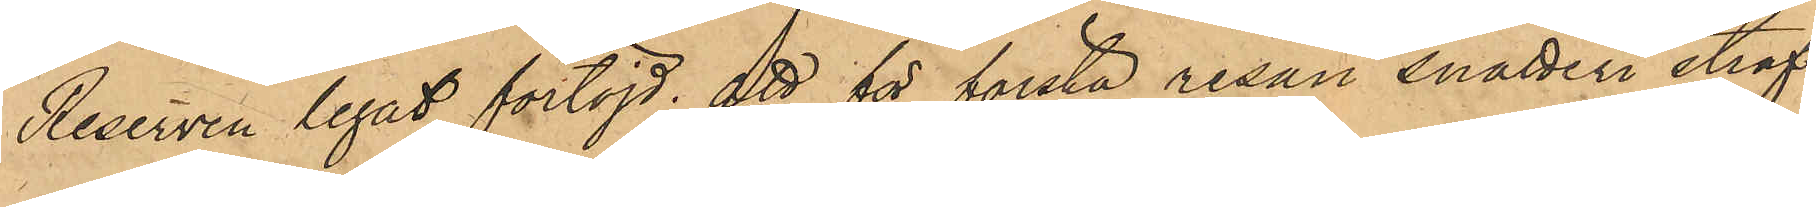Reserven legat förtöjd; att för första resan snatteri straf¬
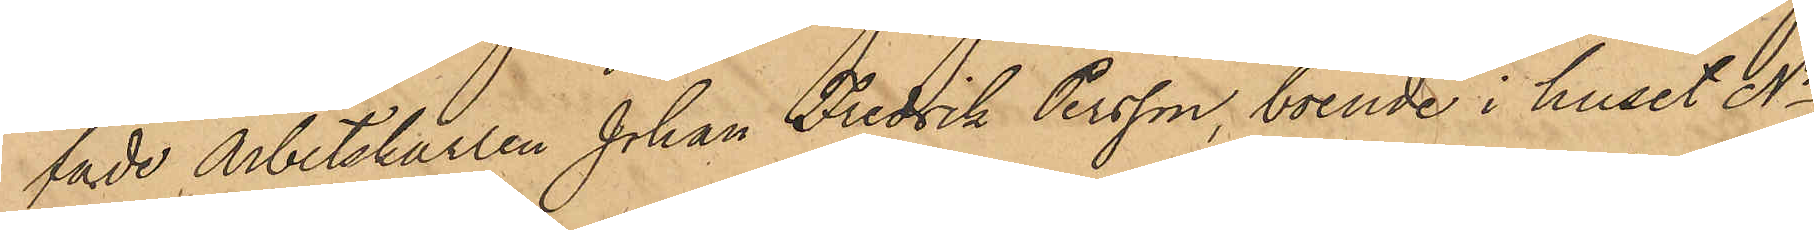fade Arbetskarlen Johan Fredrik Persson, boende i huset No 1
